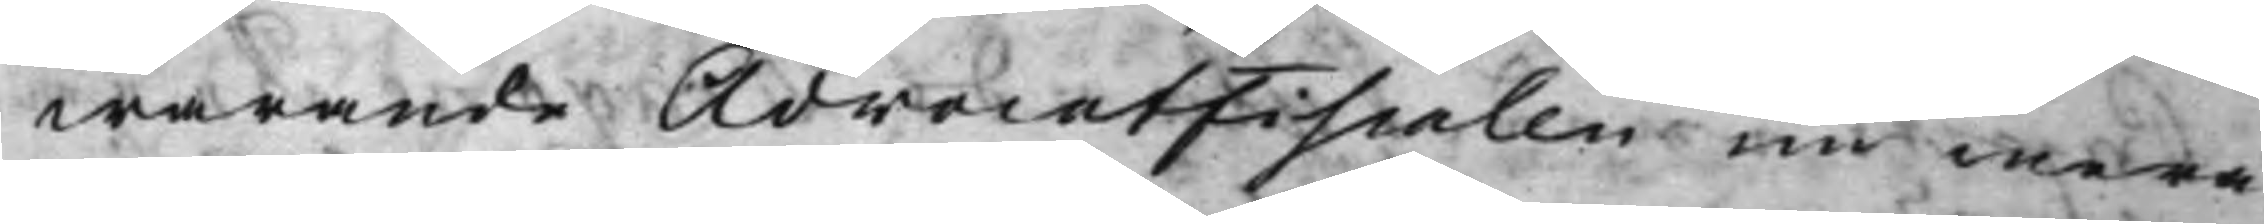warande AdvocatFiscalen nu mera
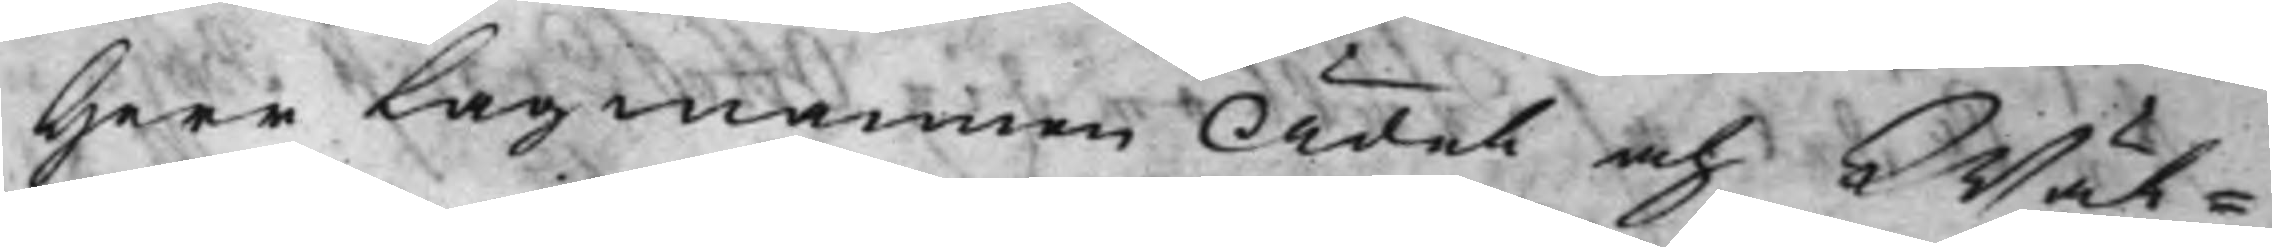Herr Lagmannen Ädel och Wäl¬
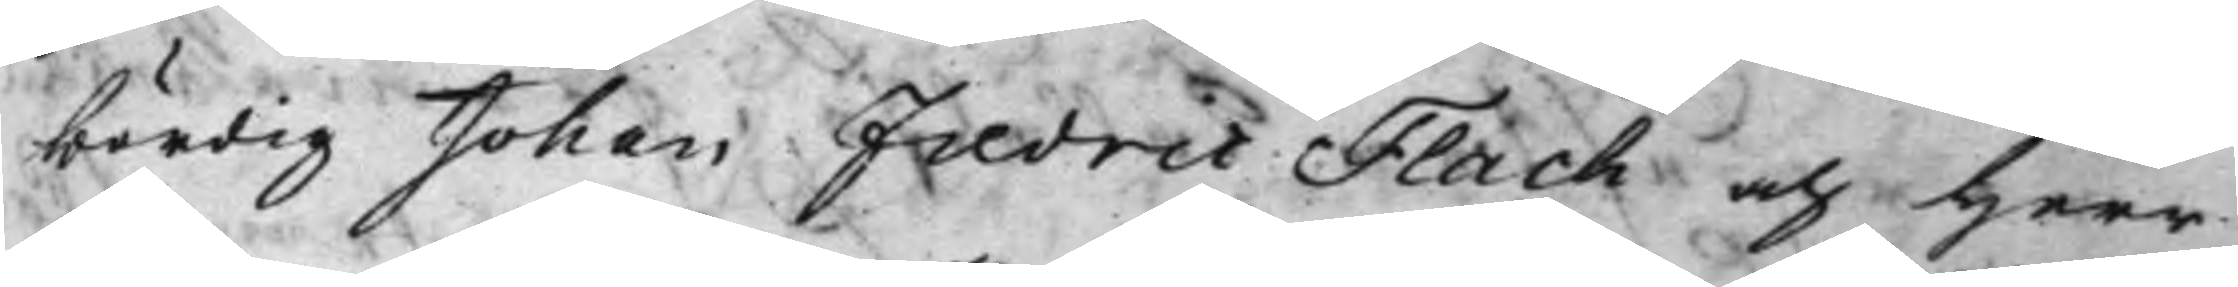bördig Johan Fredric Flach och Herr
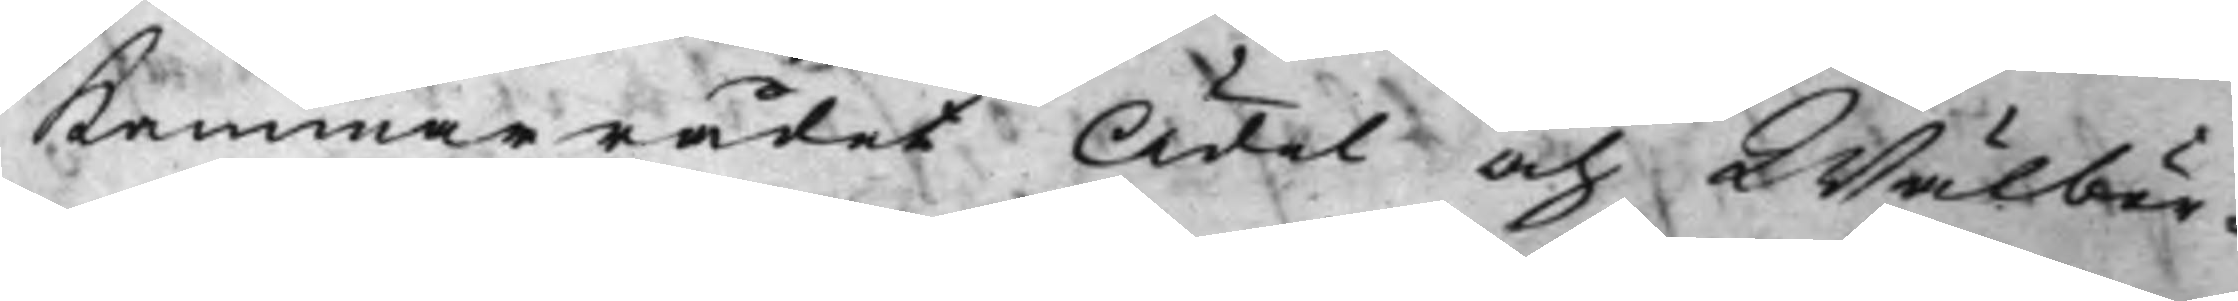Kammarrådet Ädel och Wälbör¬
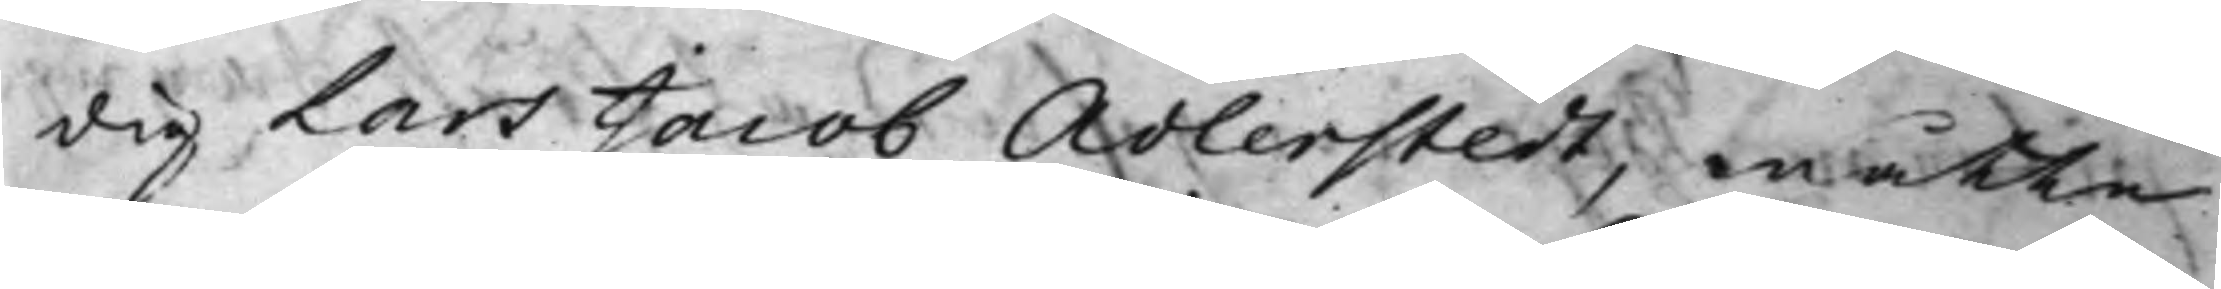dig Lars Jacob Adlerstedt, måtte
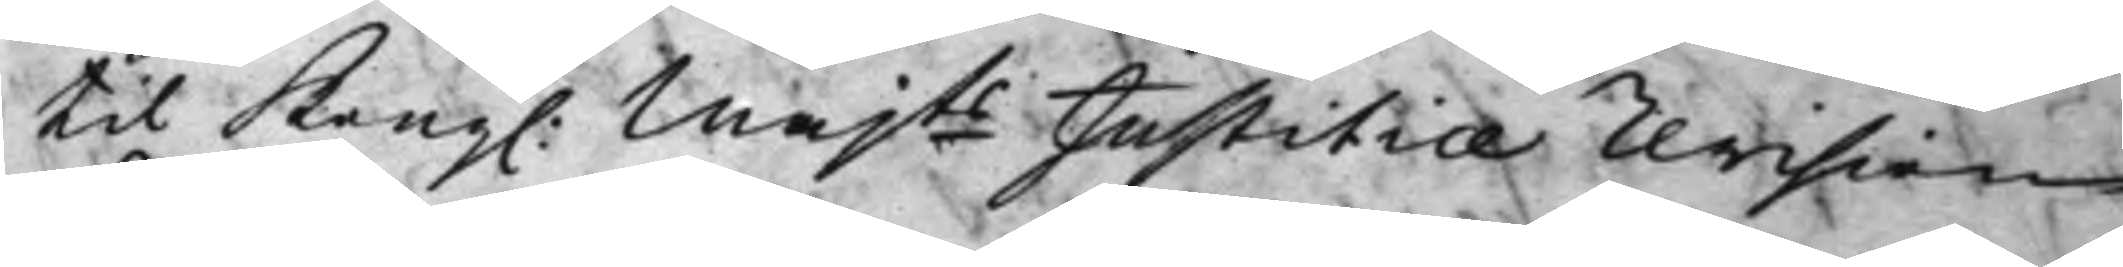til Kong. Majts Justitiæ Revision
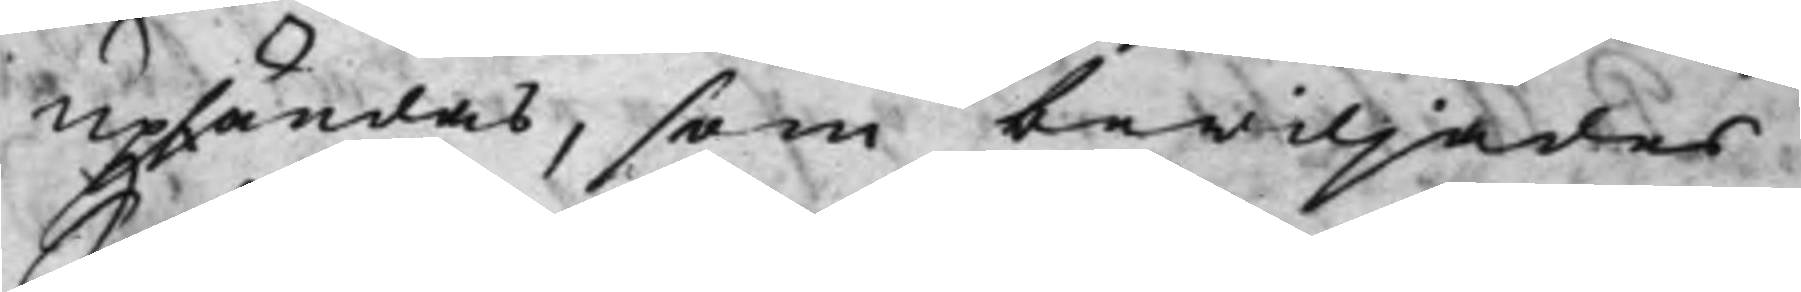Upsändas, som bewiljades.
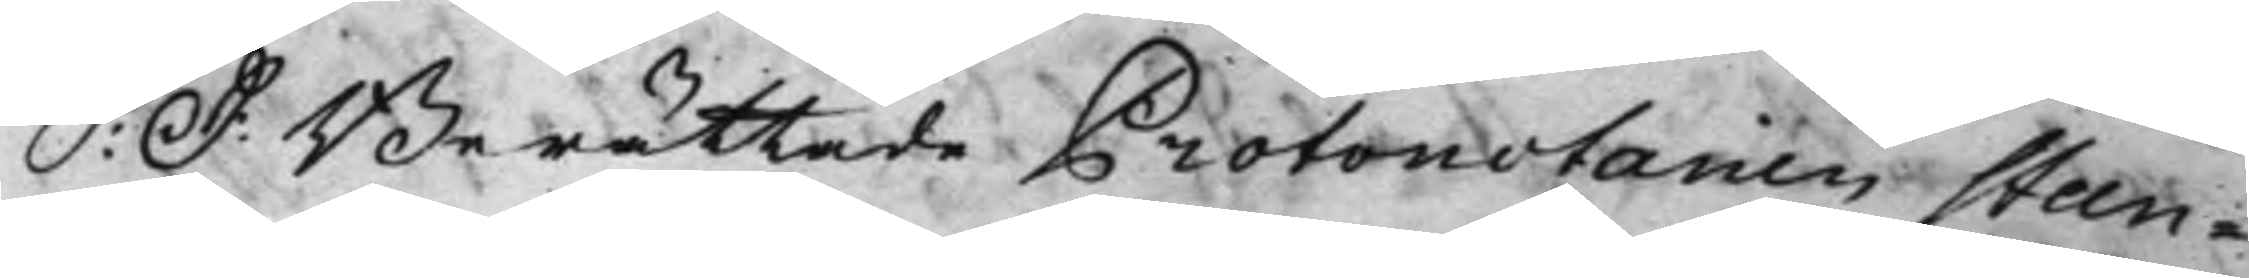S: D: Berättade Protonotarien Steen¬
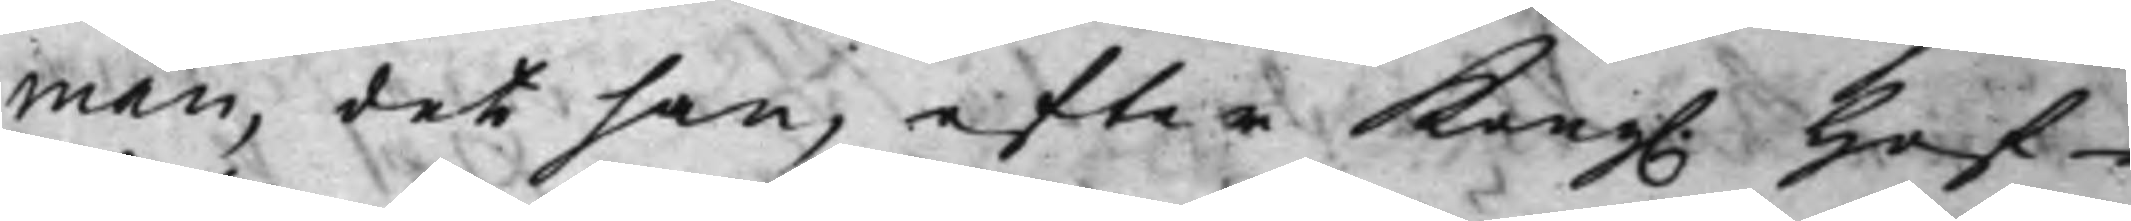man, det han, efter Kong. Hof¬
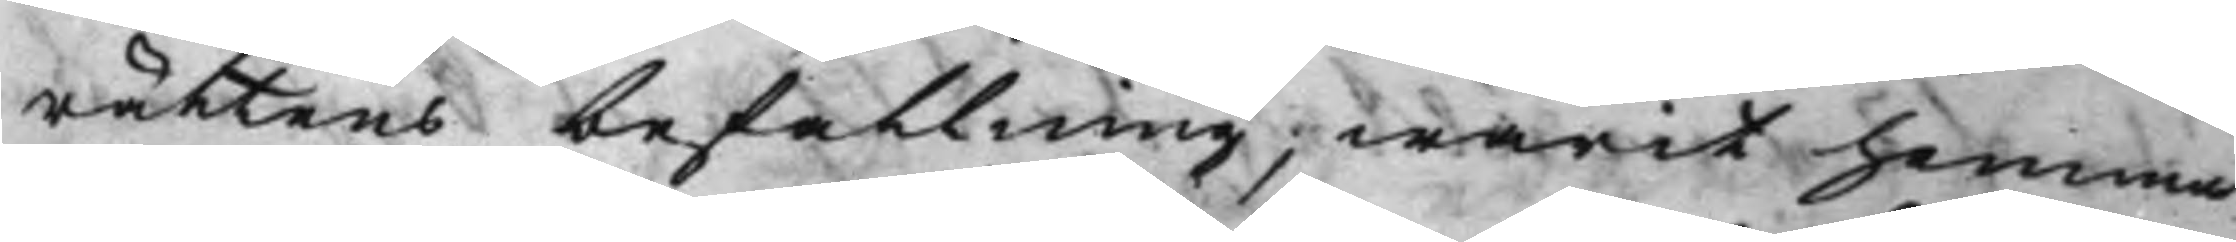rättens befallning, warit hemma
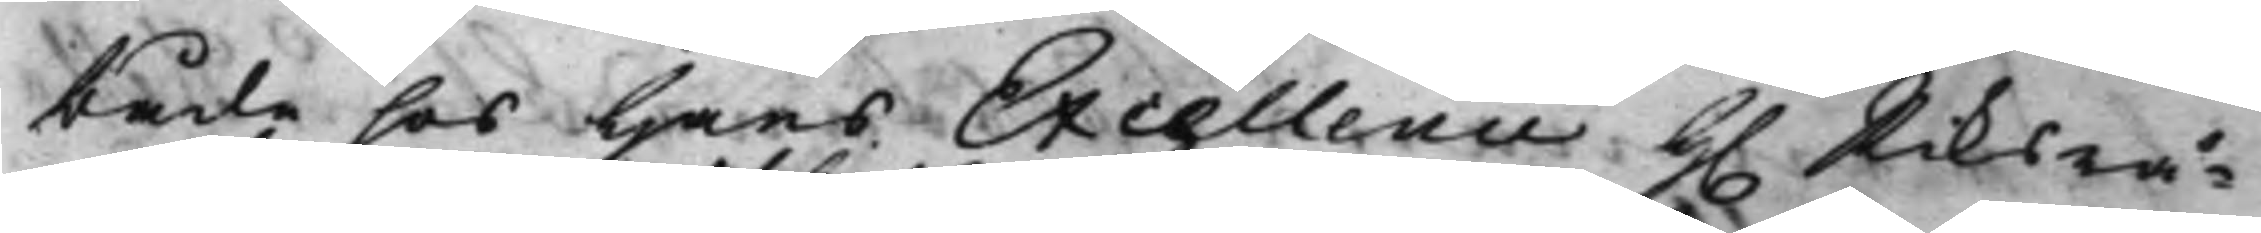både hos Hans Excellence H. Riksrå¬
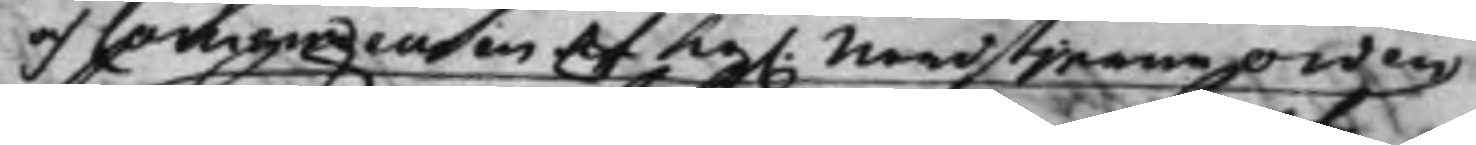och Commendeuren af Kg. Nordstjerne Orden
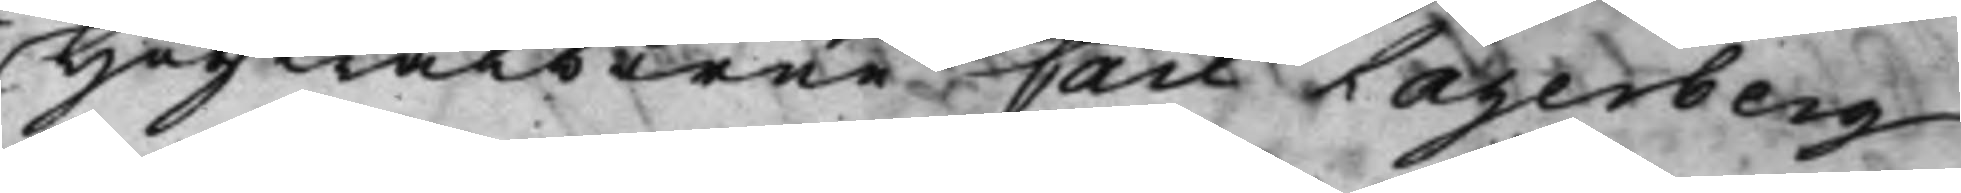Högwälborne Carl Lagerberg
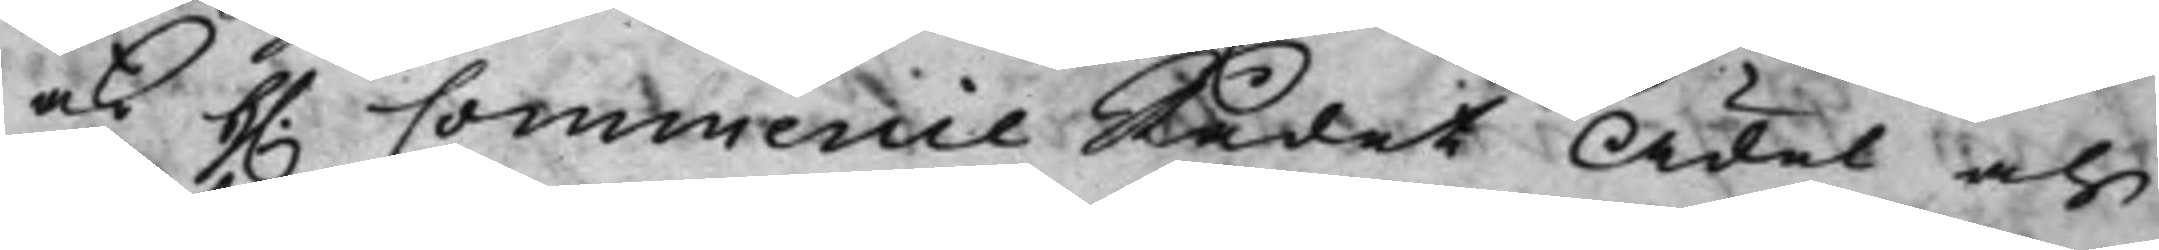och H. Commercie Rådet Ädel och
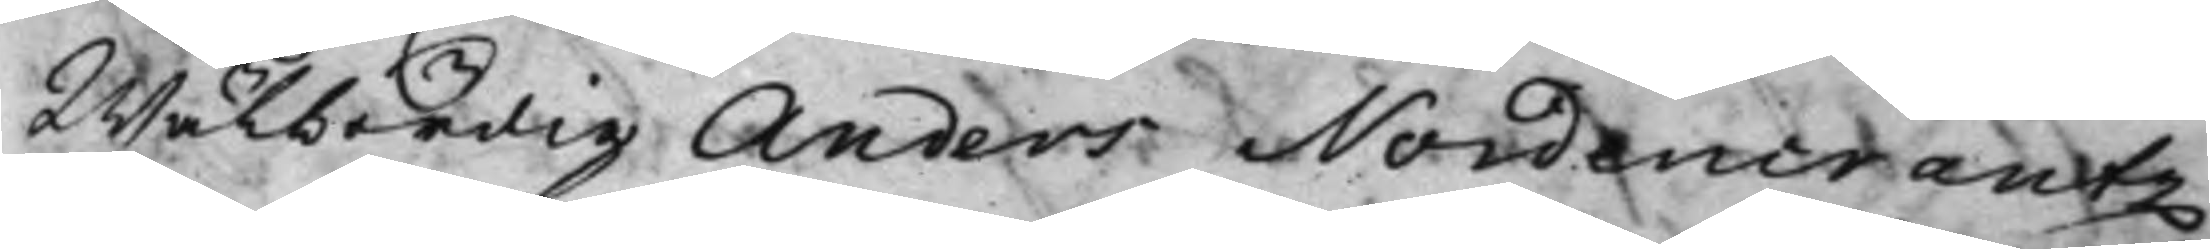Wälbördig Anders Nordencrantz
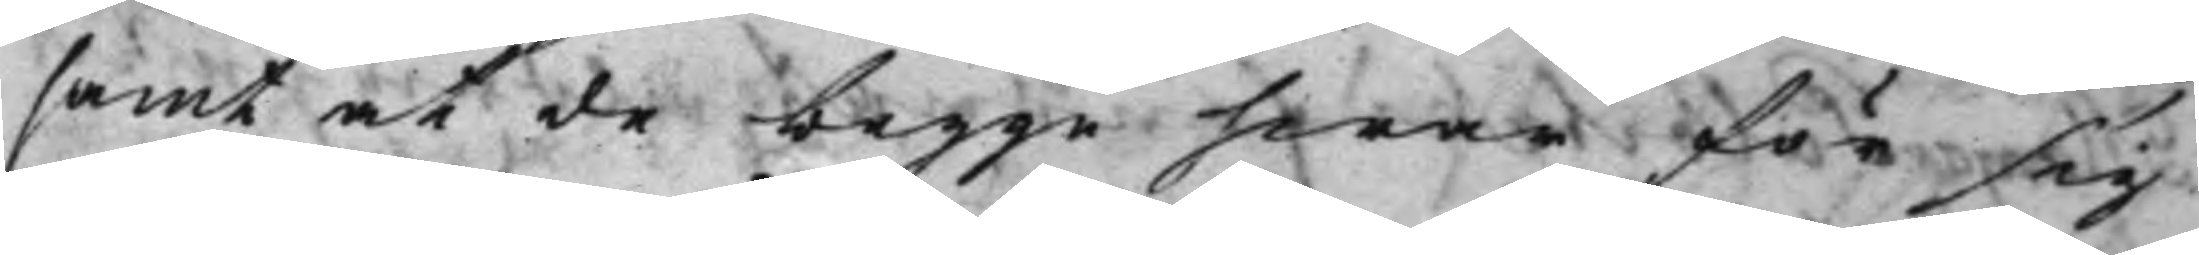samt at de begge hwar för sig
